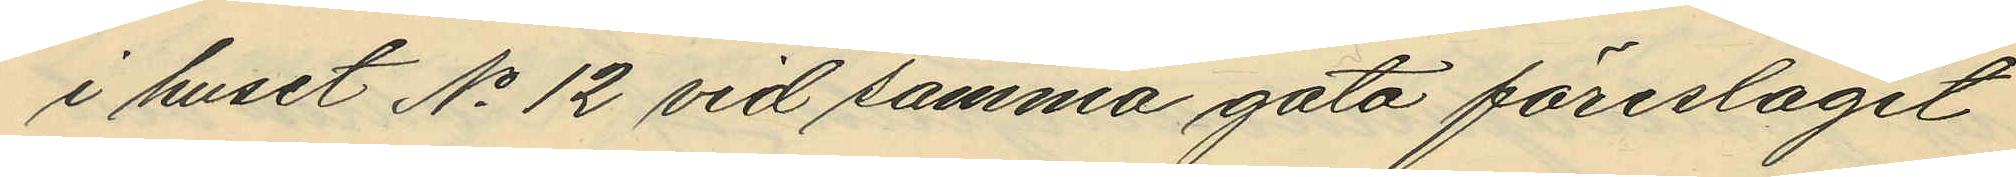i huset No 12 vid samma gata föreslagit
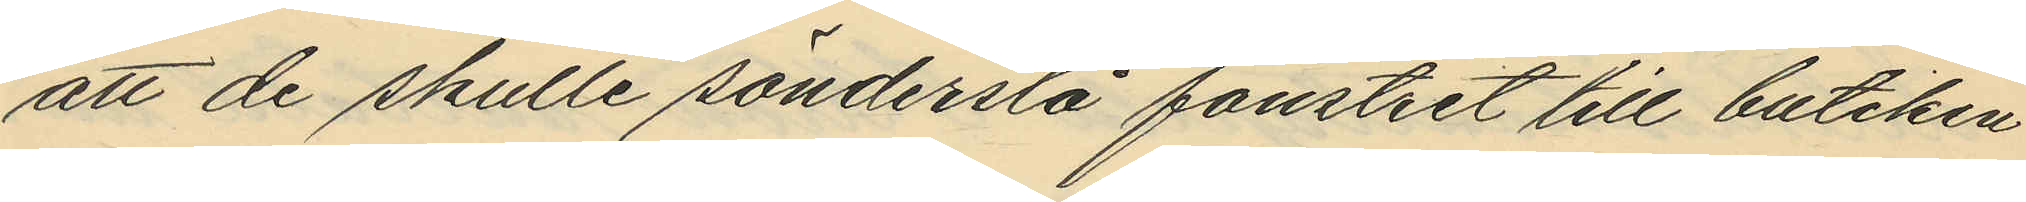att de skulle sönderslå fönstret till butiken
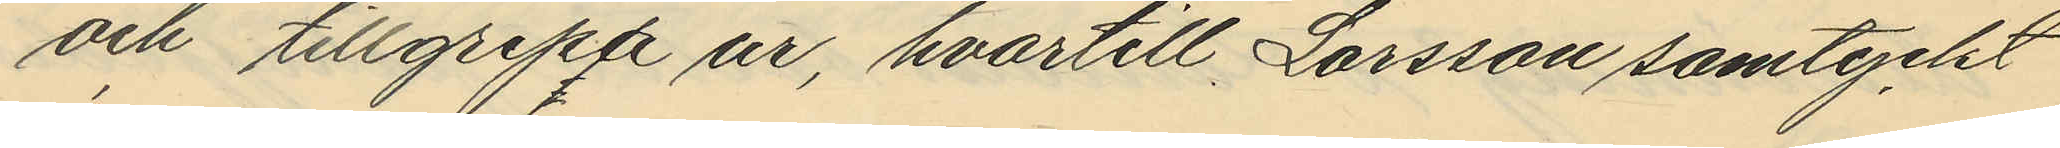och tillgripa ur, hvartill Larsson samtyckt
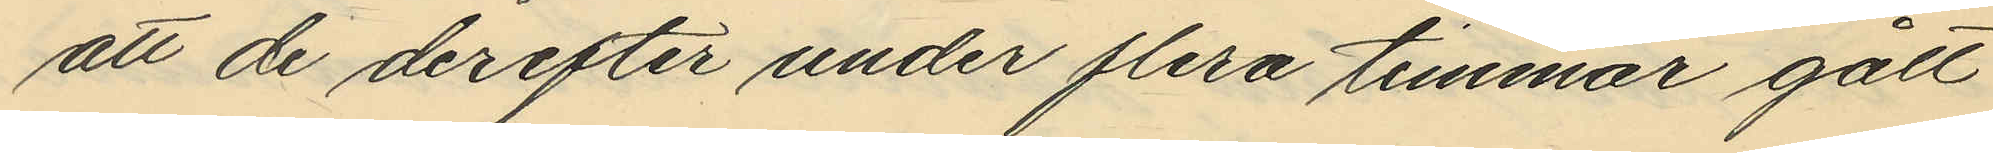att de derefter under flera timmar gått
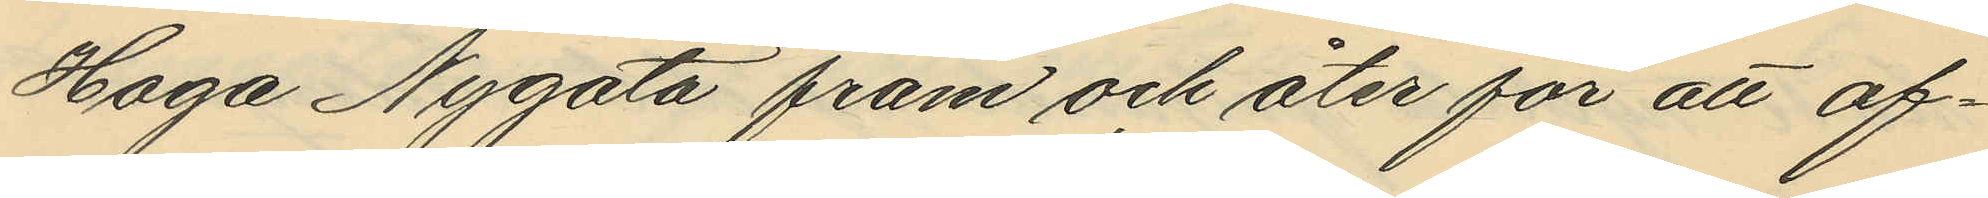Haga Nygata fram och åter för att af¬
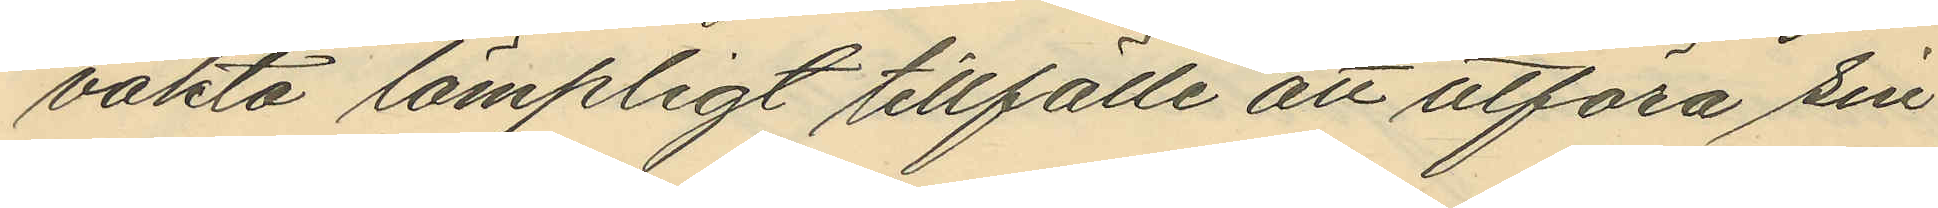vakta lämpligt tillfälle att utföra sin
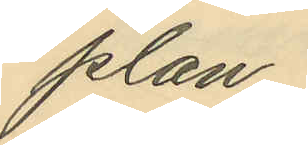plan;
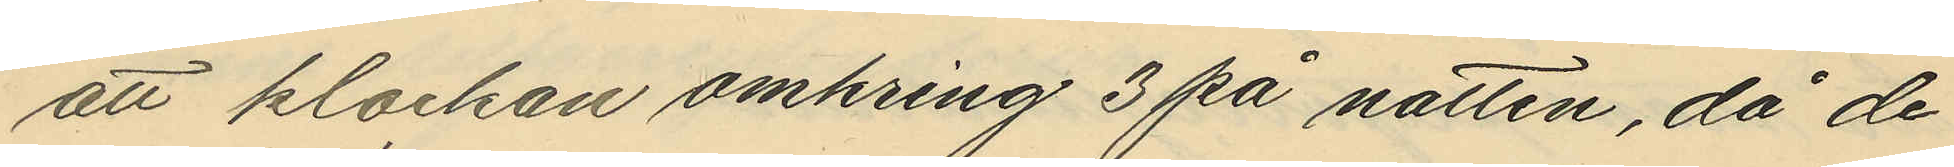att klockan omkring 3 på natten, då de
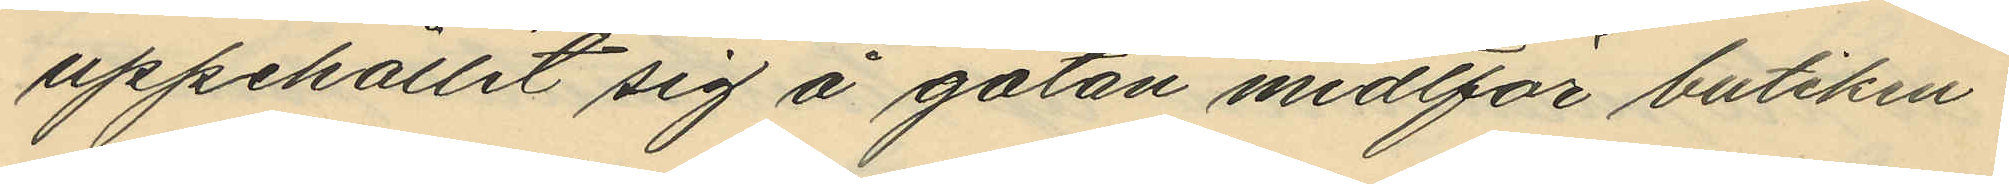uppehållit sig å gatan midtför butiken
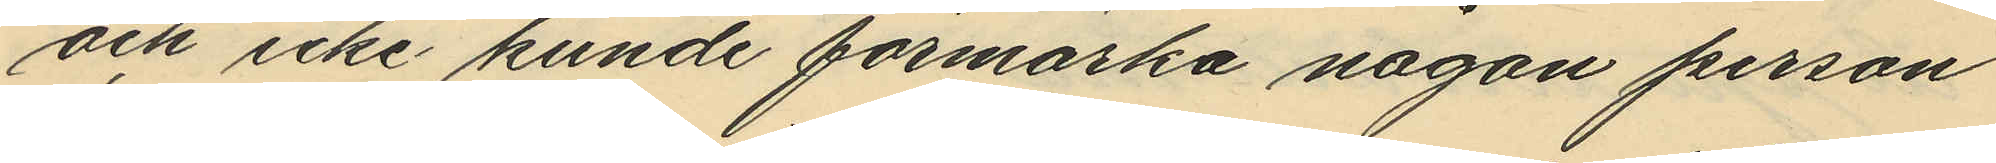och icke kunde förmärka någon person
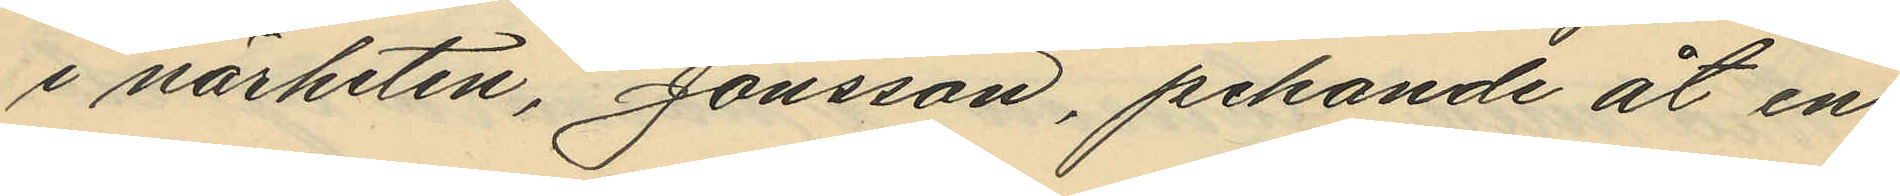i närheten, Jonsson, pekande åt en
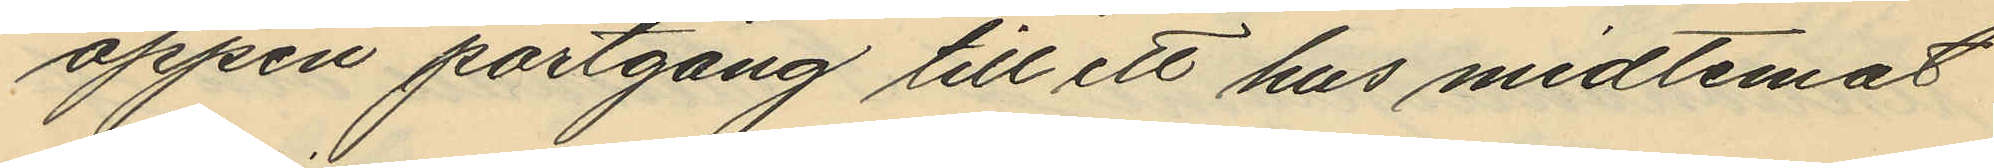öppen portgång till ett hus midtemot
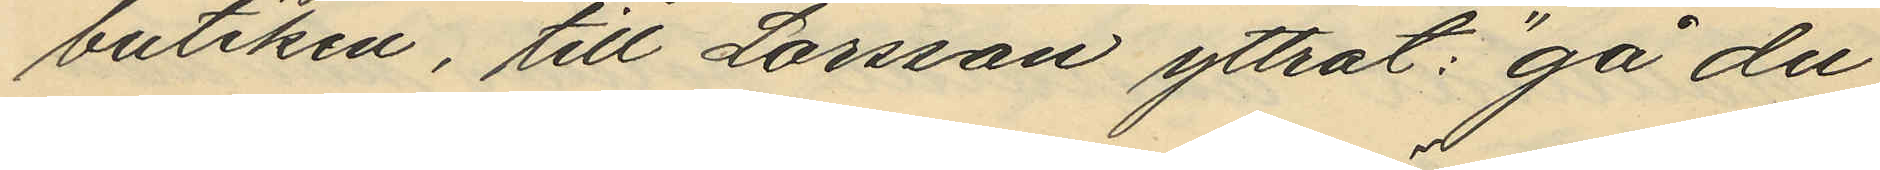butiken, till Larsson yttrat: "gå du
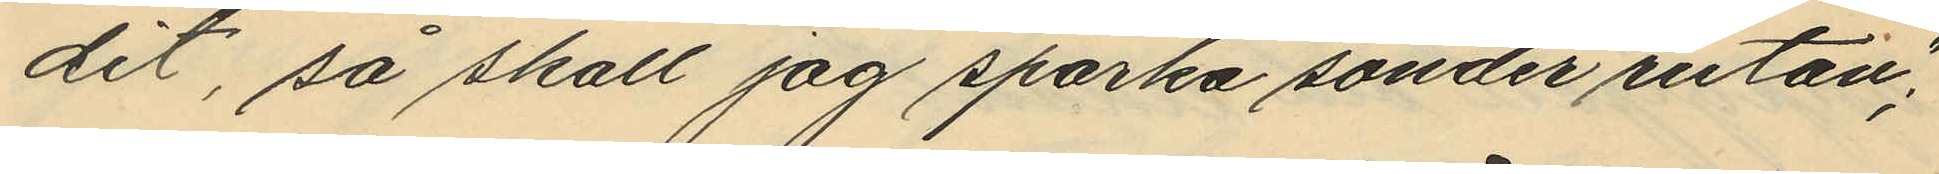dit, så skall jag sparka sönder rutan";
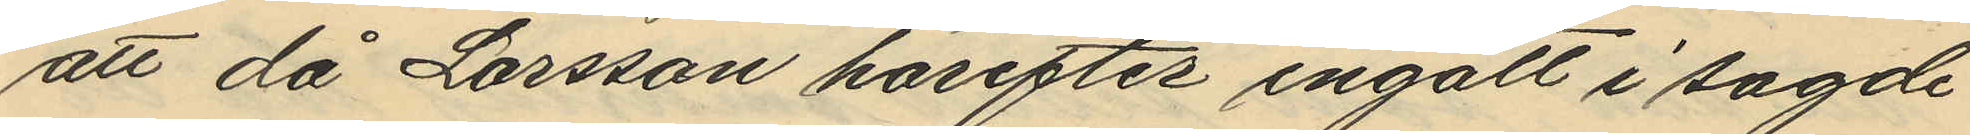att då Larsson härefter ingått i sagde
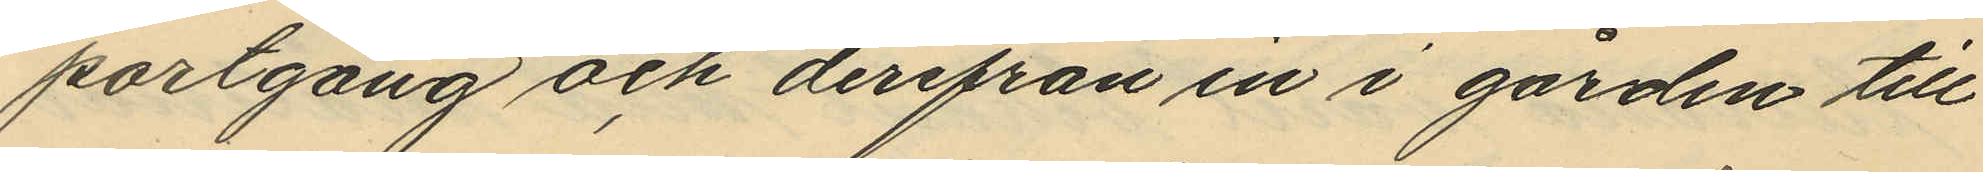portgång och derifrån in i gården till
